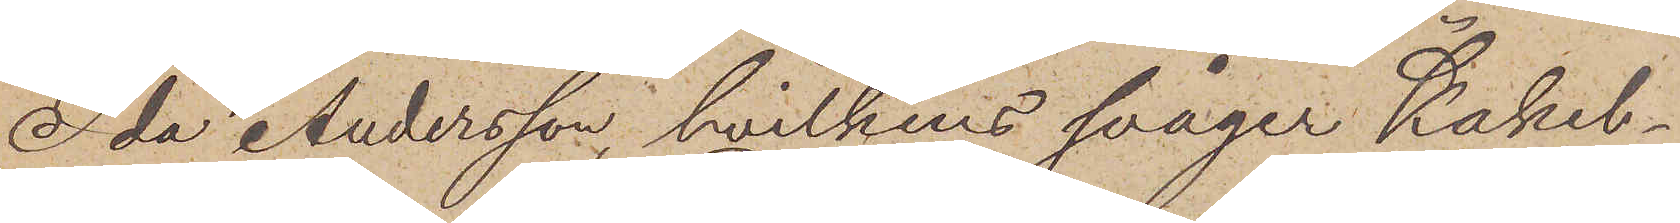Ida Andersen, hvilkens svåger Kakel¬
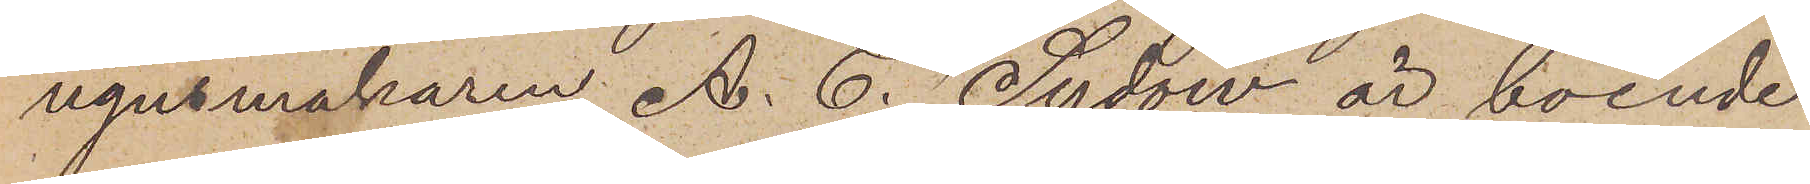ugnsmakaren A. C. Sydow är boende
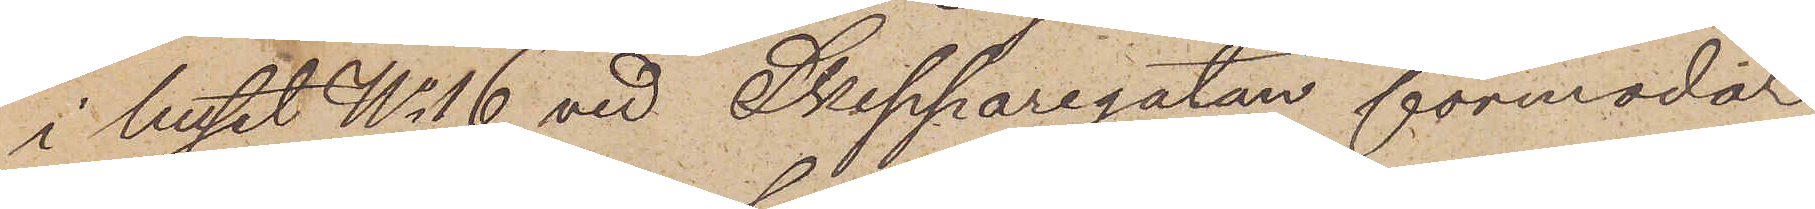i huset No 16 vid Skepparegatan förmodar
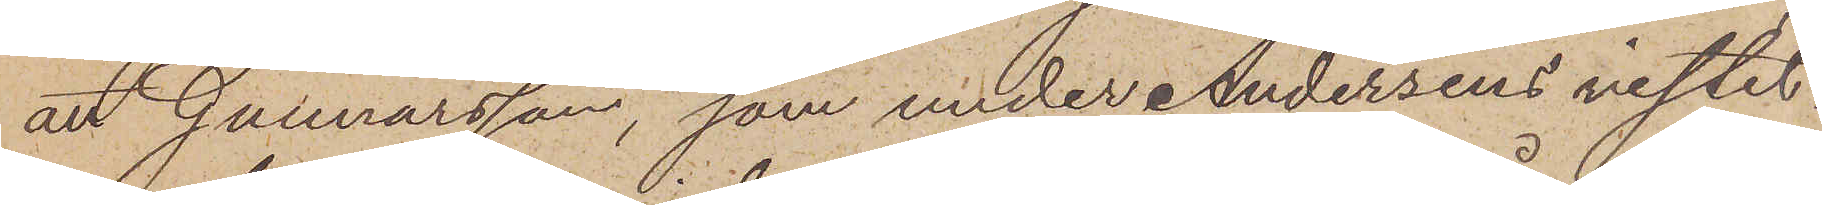att Gunnarsson, som under Andersens vistel¬
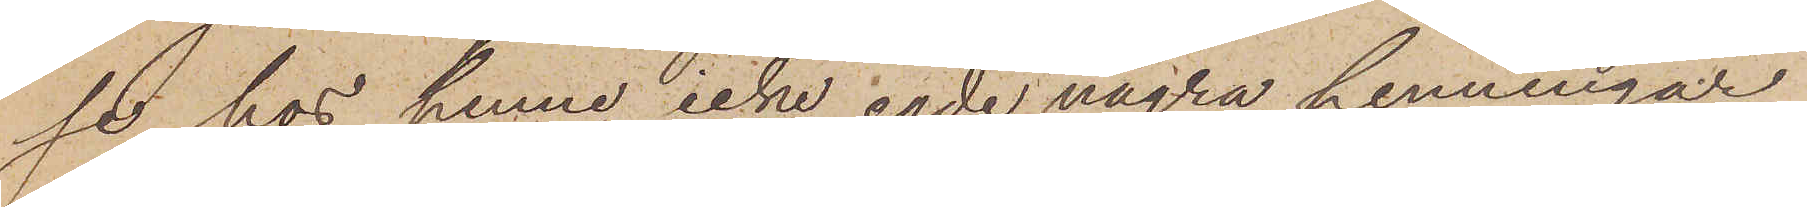se hos henne icke egde några penningar
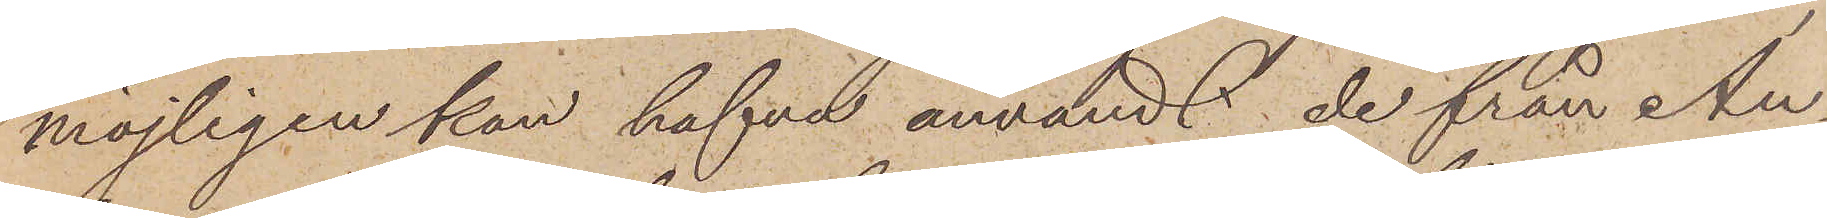möjligen kan hafva användt de från An¬
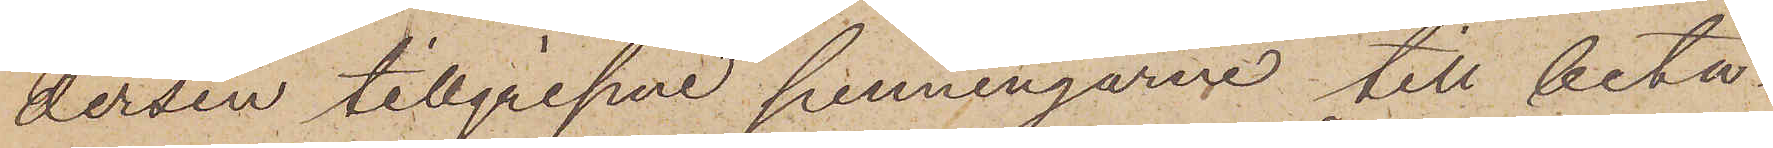dersen tillgripne penningarne till beta¬
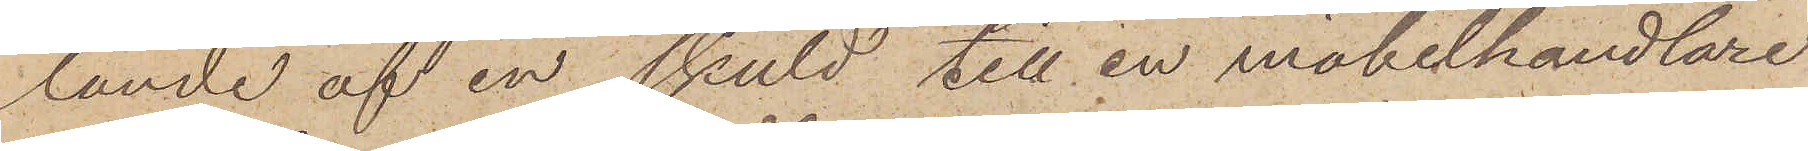lande af en skuld till en möbelhandlare
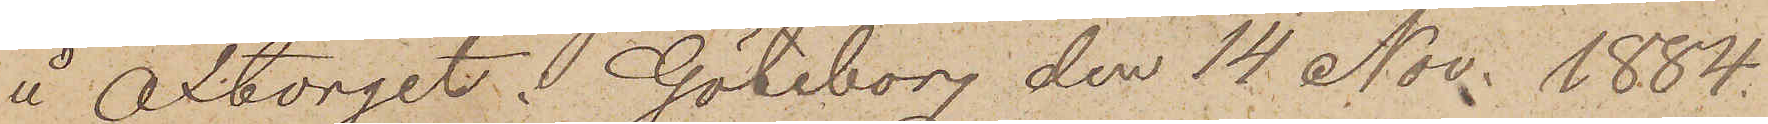å Oxtorget. Göteborg den 14 Nov. 1884.
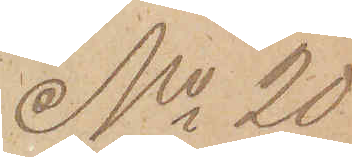No 20
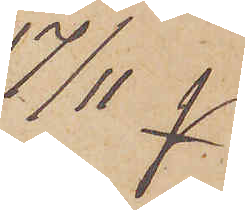 17/11
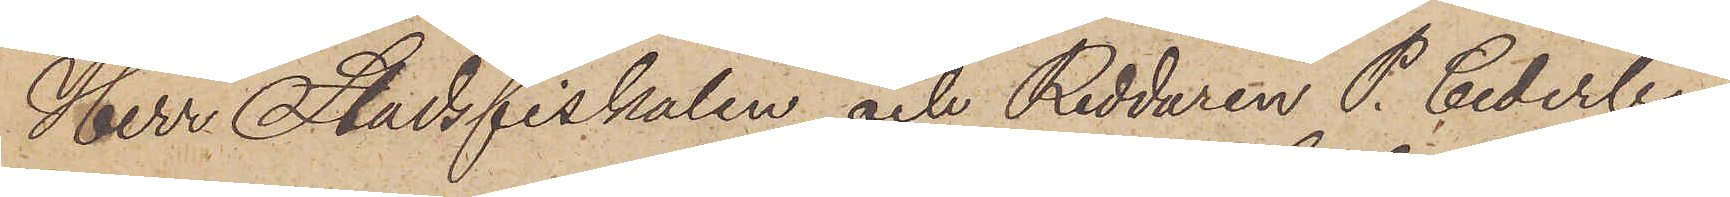Herr Stadsfiskalen och Riddaren P. Cederborg
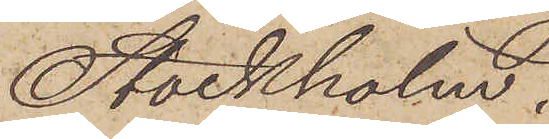Stockholm.
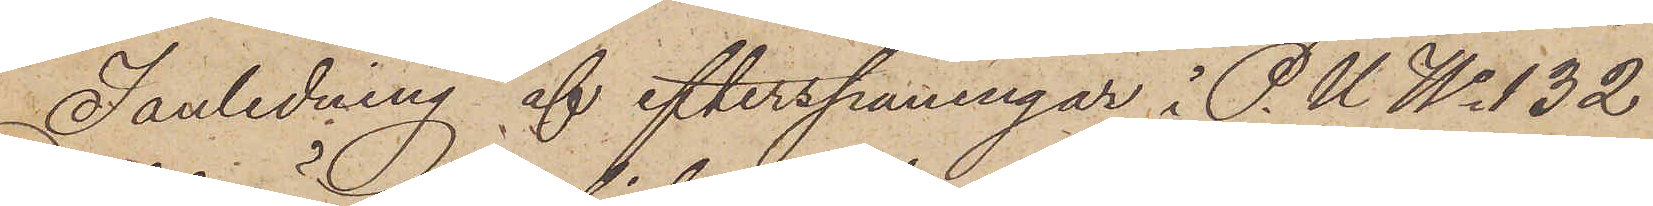I anledning af efterspaningar i P.U. No 132
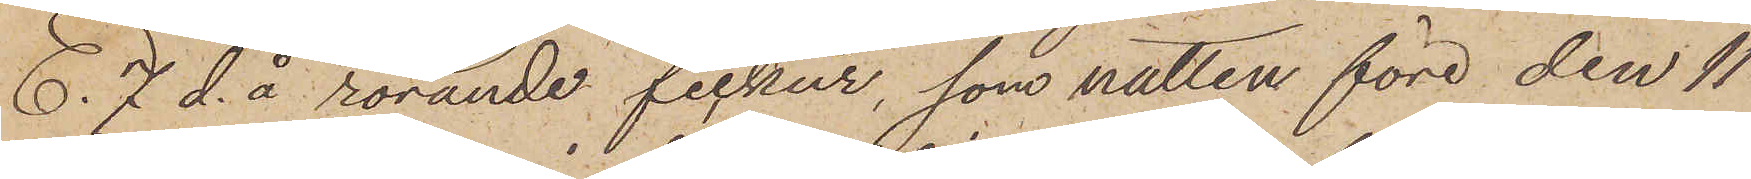E.7 d.å rörande fickur, som natten före den 11
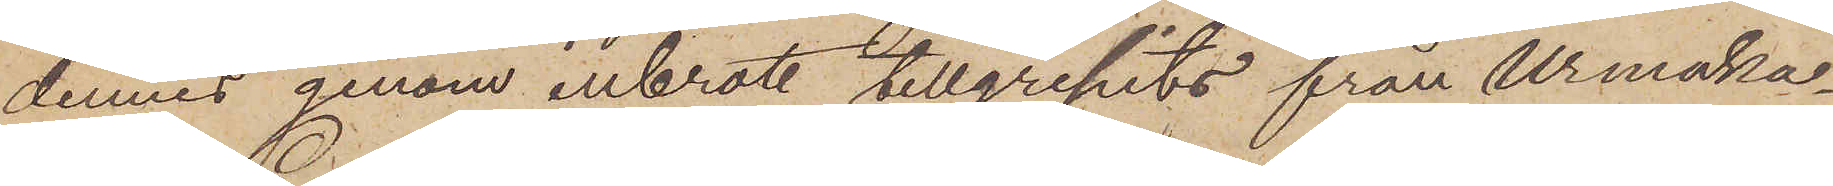dennes genom inbrott tillgripits från Urmaka¬
